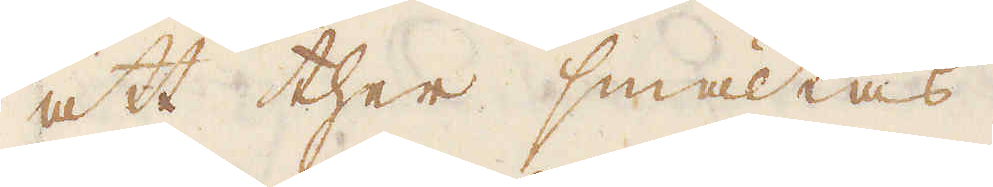att ther smältas.
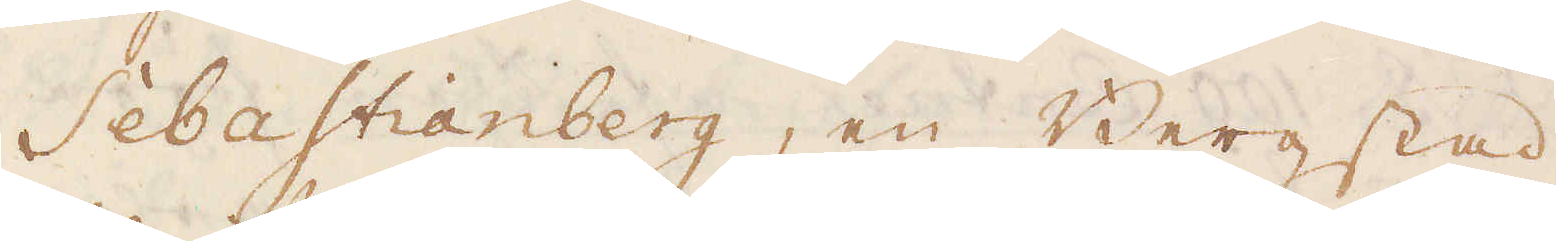Sebastianberg, en Bergstad
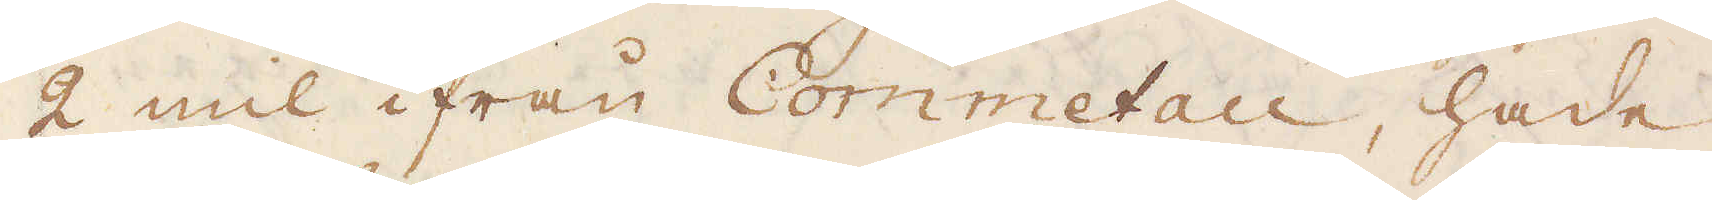2 mil ifrån Commetau, hade
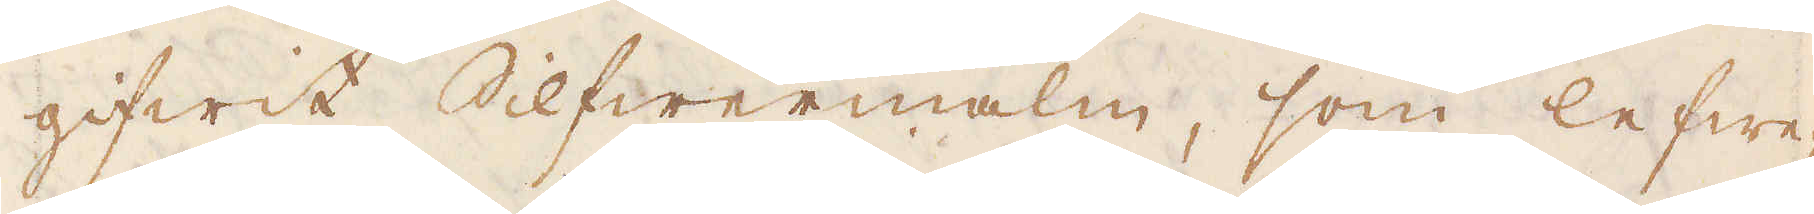gifwit Silfwermalm, som lefwe-
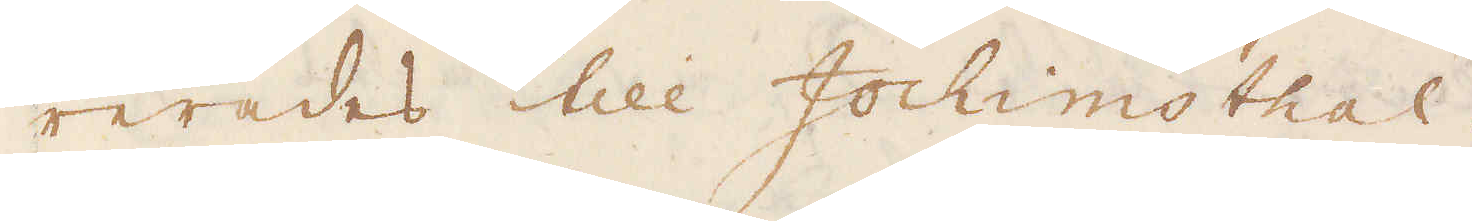rerades till Jochimsthal.
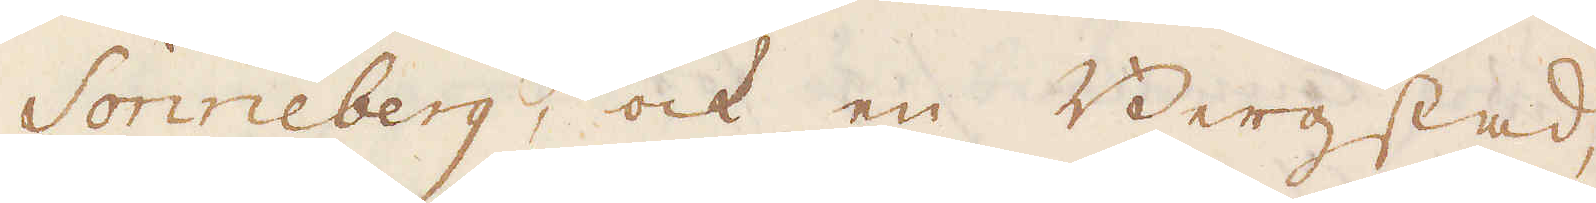Sonneberg, ock en Bergstad,
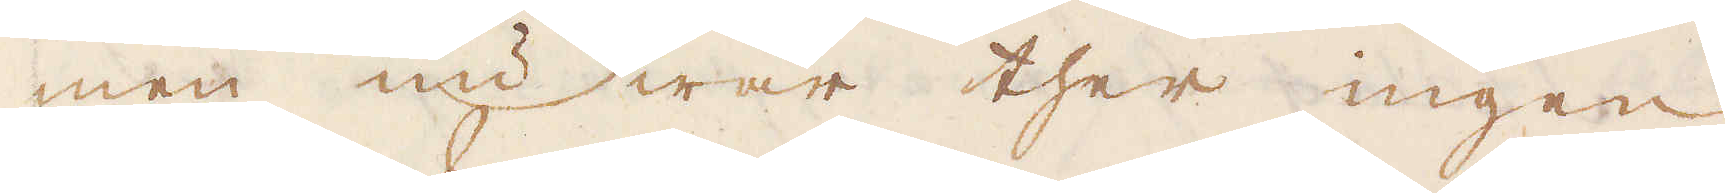men nu war ther ingen
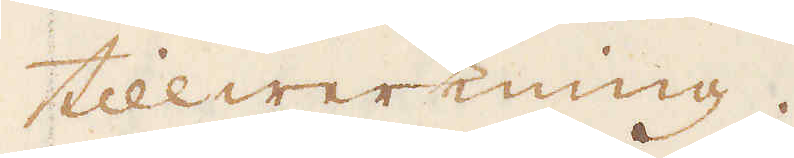tillwerkning.
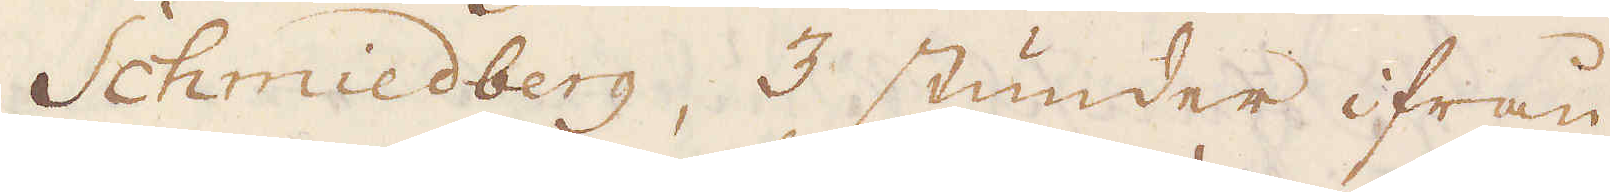Schmiedberg, 3 stunder ifrån
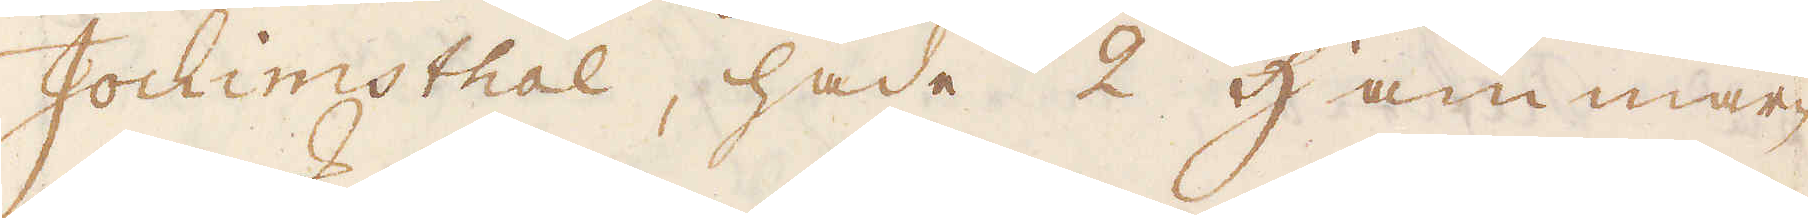Jochimsthal, hade 2 Hammar-
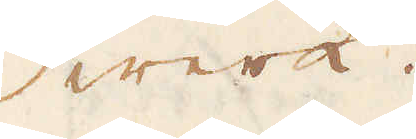wer.
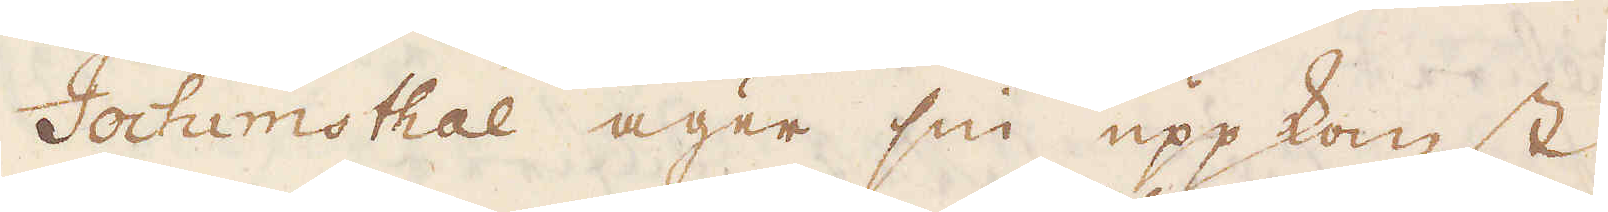Jochimsthal äger sin uppkomst
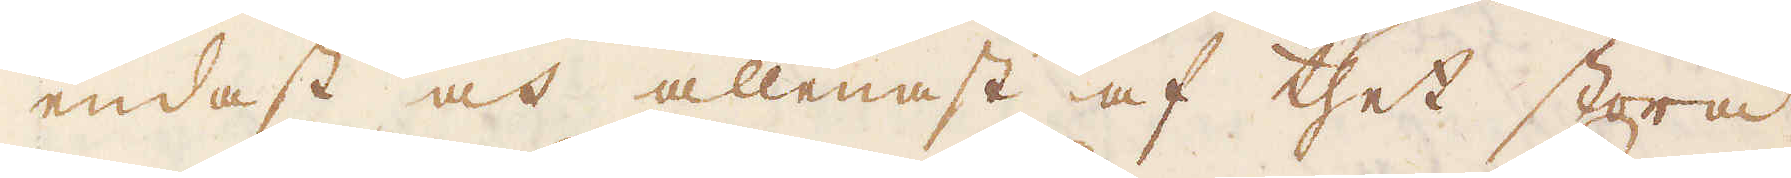endast och allenast af thet stora
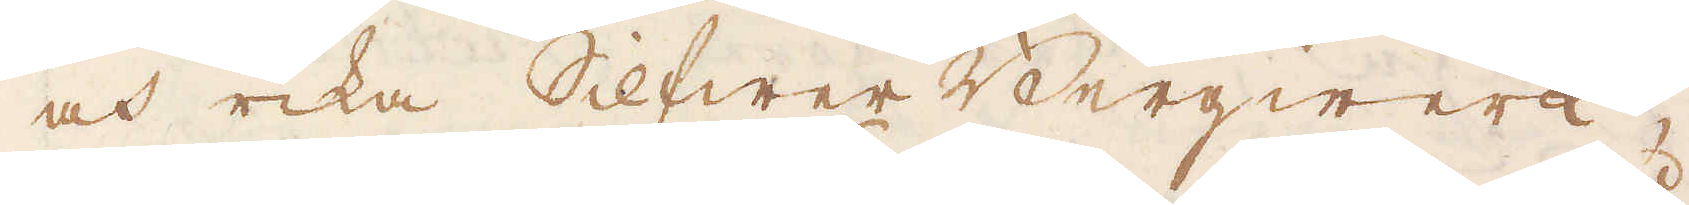och rika Silfwer Bergwerk,
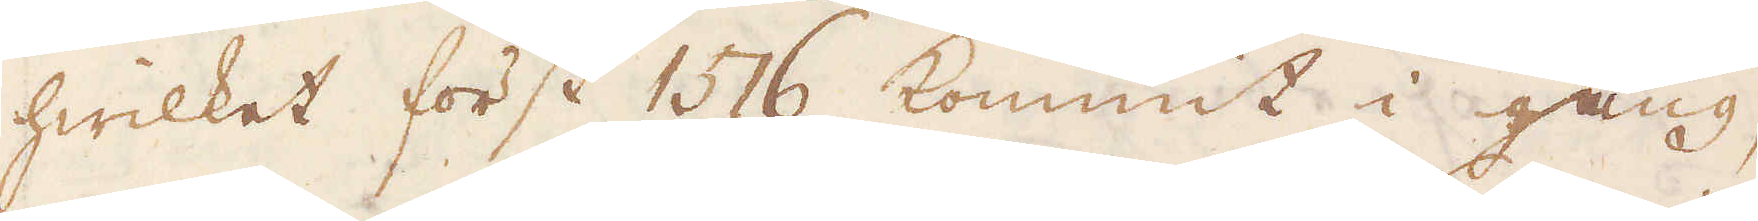hwilket först 1576 kommit i gång,
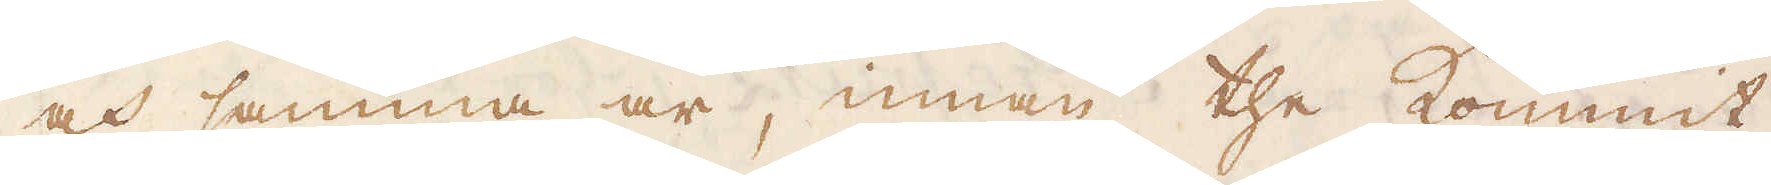och samma är, innan the kommit
